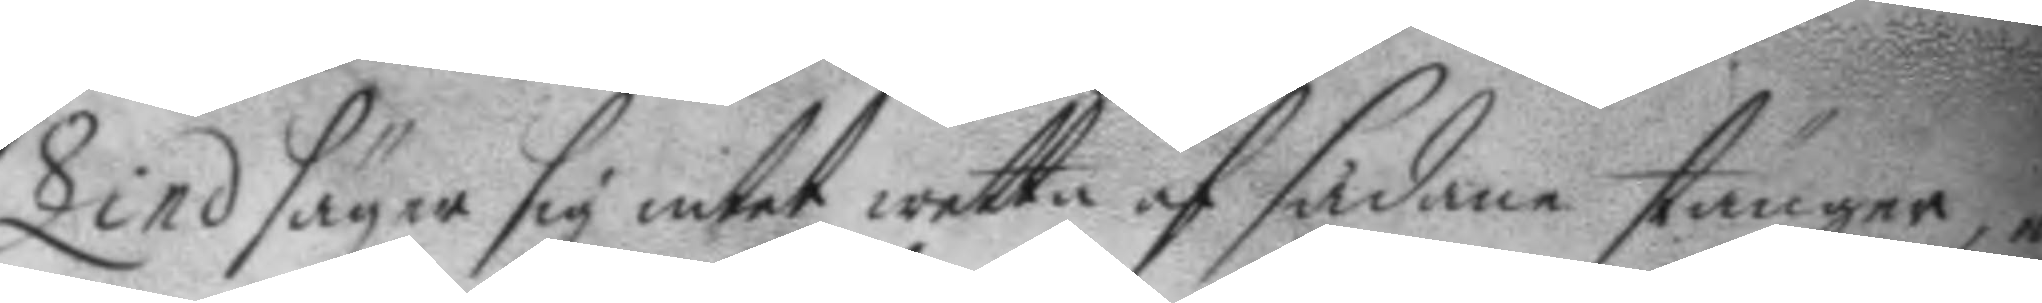Lind säger sig intet wetta af sådane stänger, ey
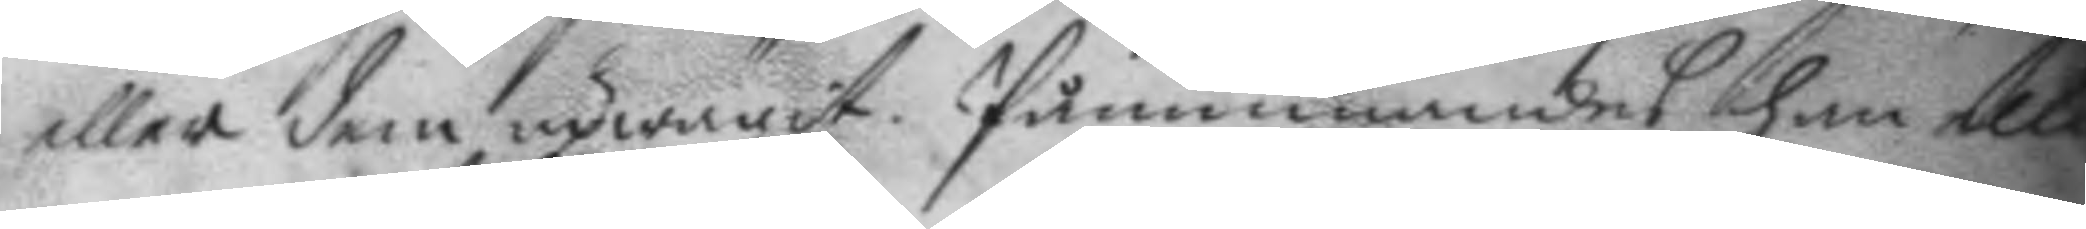eller dem upwägit. Påminnandes han tll¬
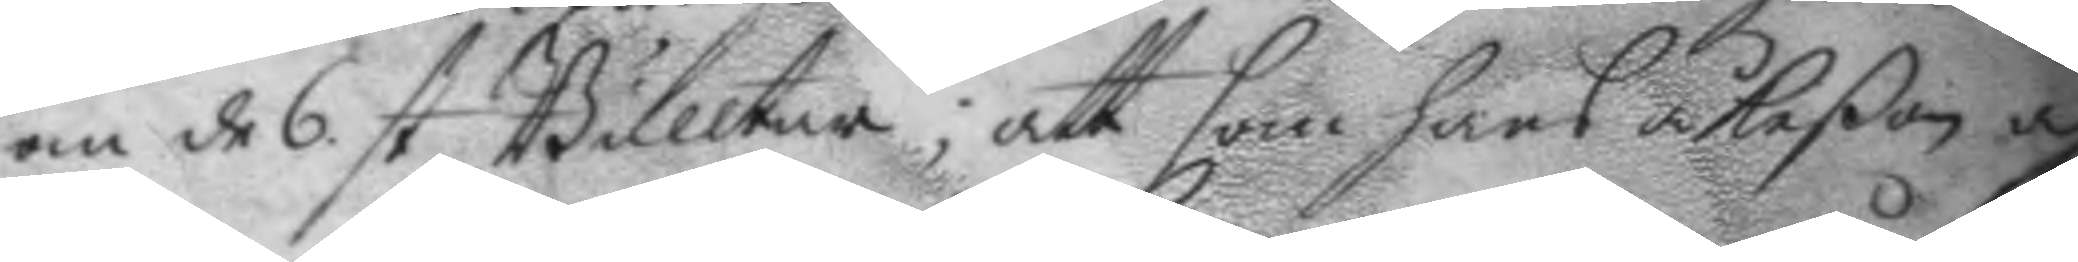om de s st. Bulltar; att som hans åkeßon a 
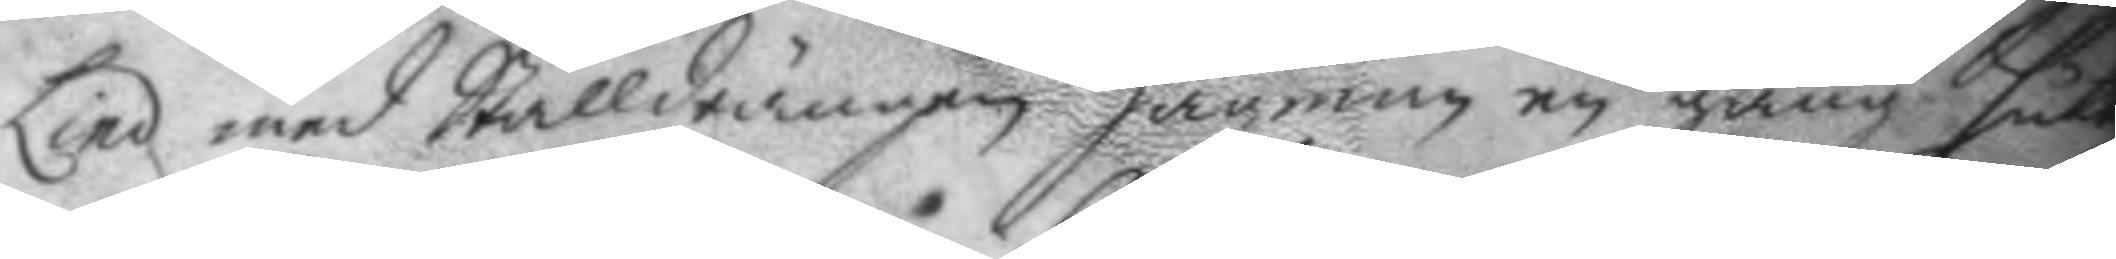Lind med Stalldrängen Hagman en gång sutt
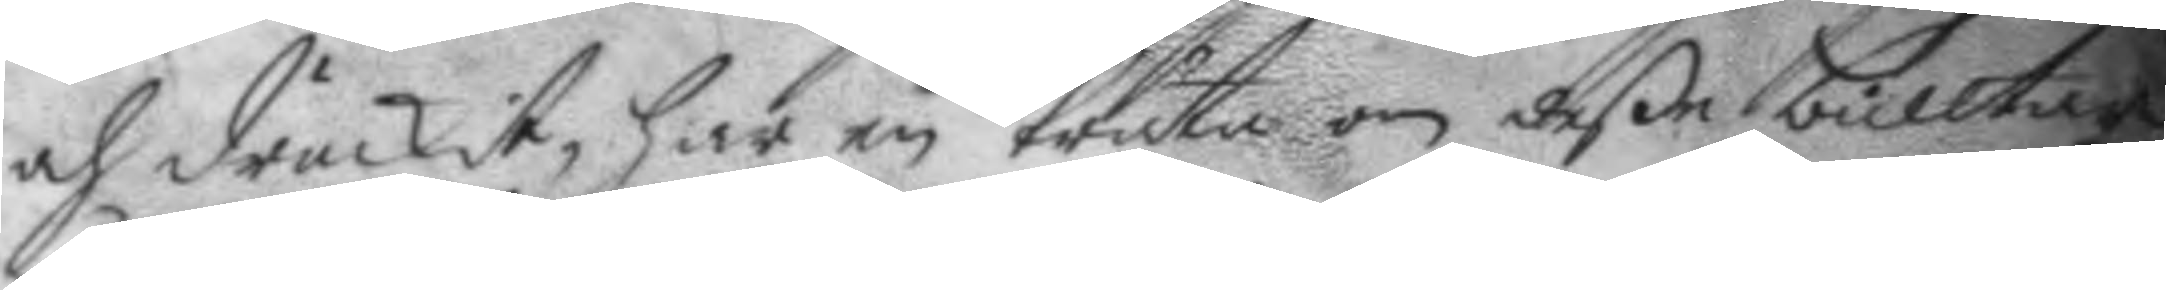och druckit, har en träta om deße bulltar
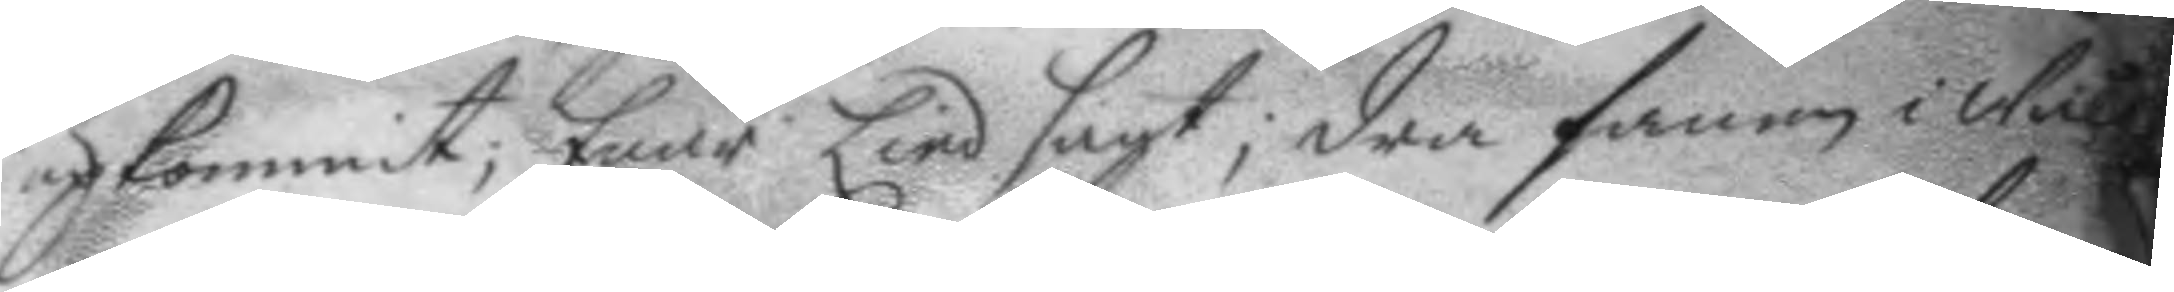upkommit; Enär Lind sagt; dra fanen i wåld
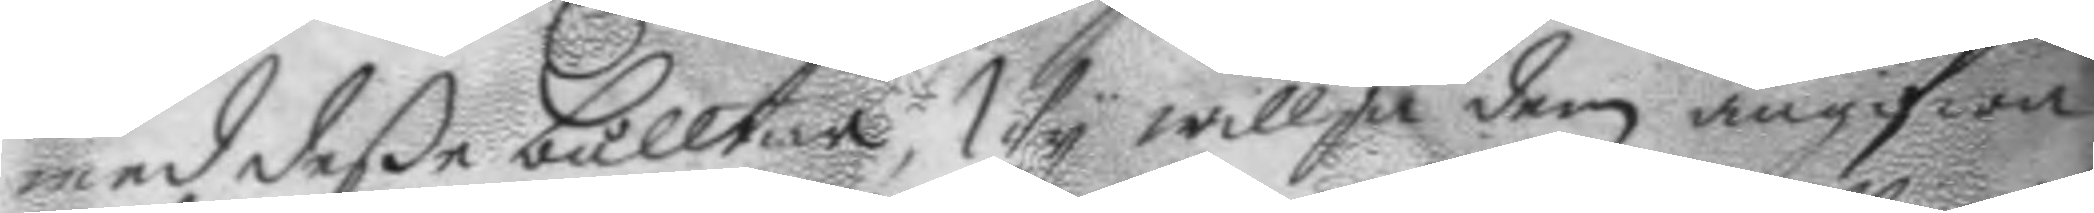med deße bulltar, Wy willja dem angifwa
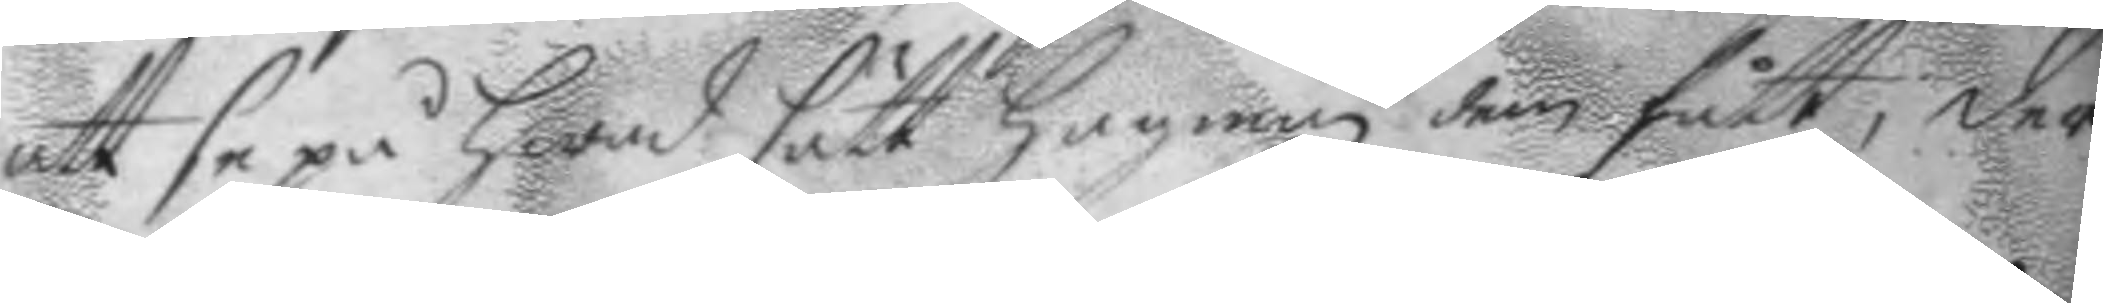att se på hwad sätt Hagman dem fått; der
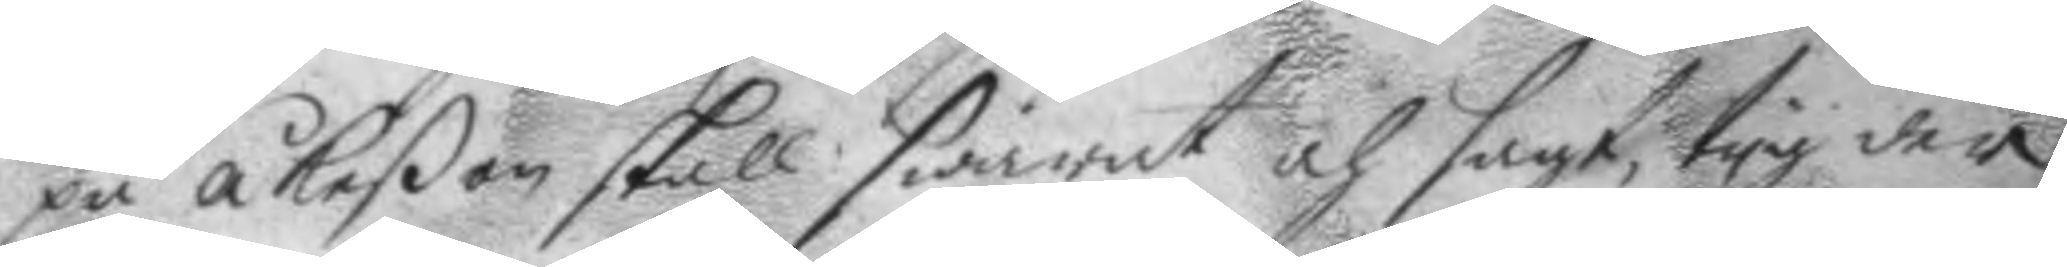på Åkeßon skall swarat och sagt, tyg der
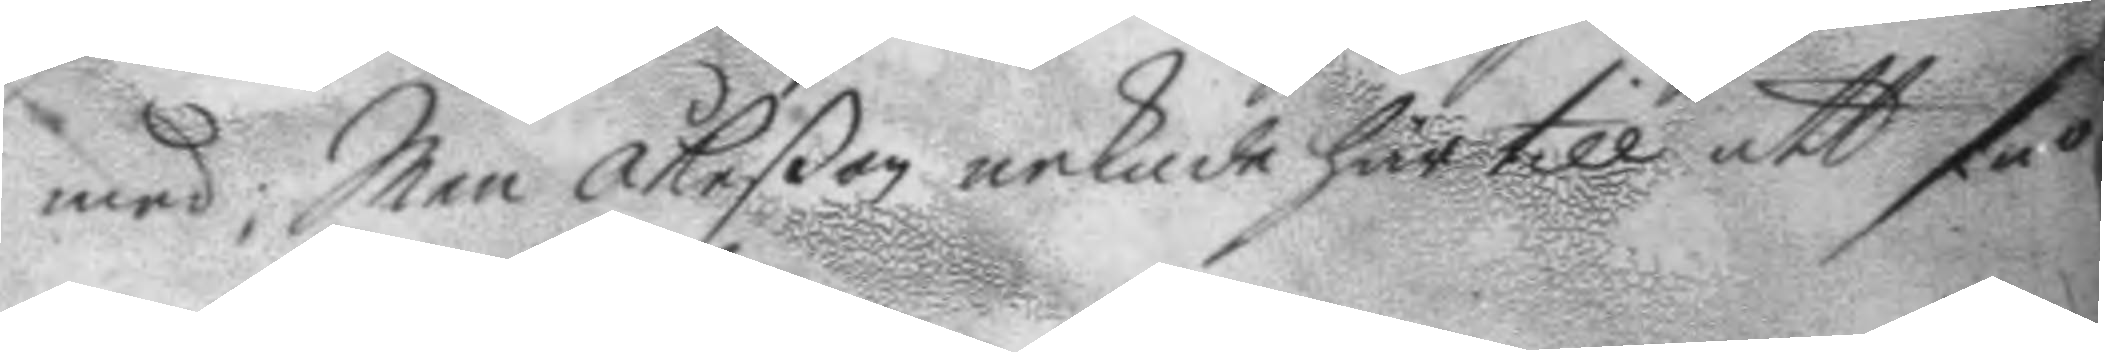med, Men Åkeßen nekade härtill att så
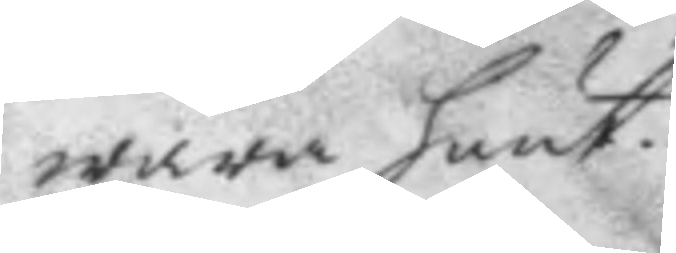wara hänt.
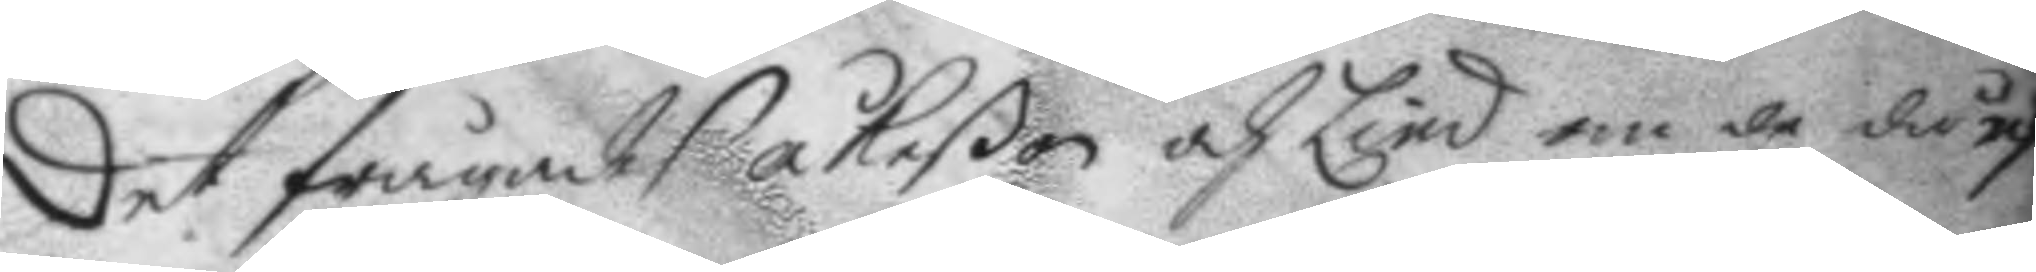Det frågades åkeßon och Lind om de då ef¬
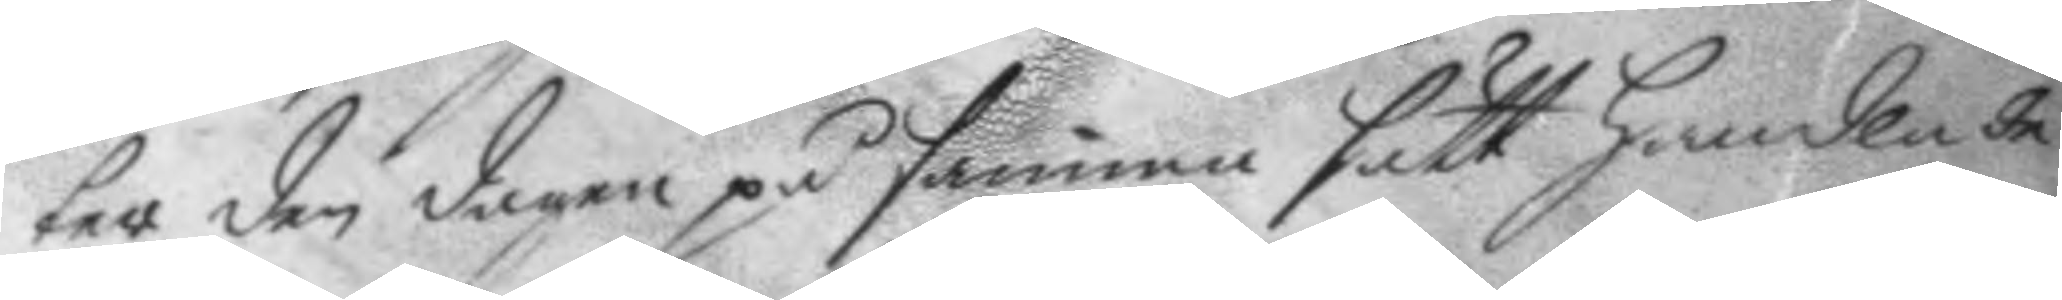ter den dagen på samma sätt handlade
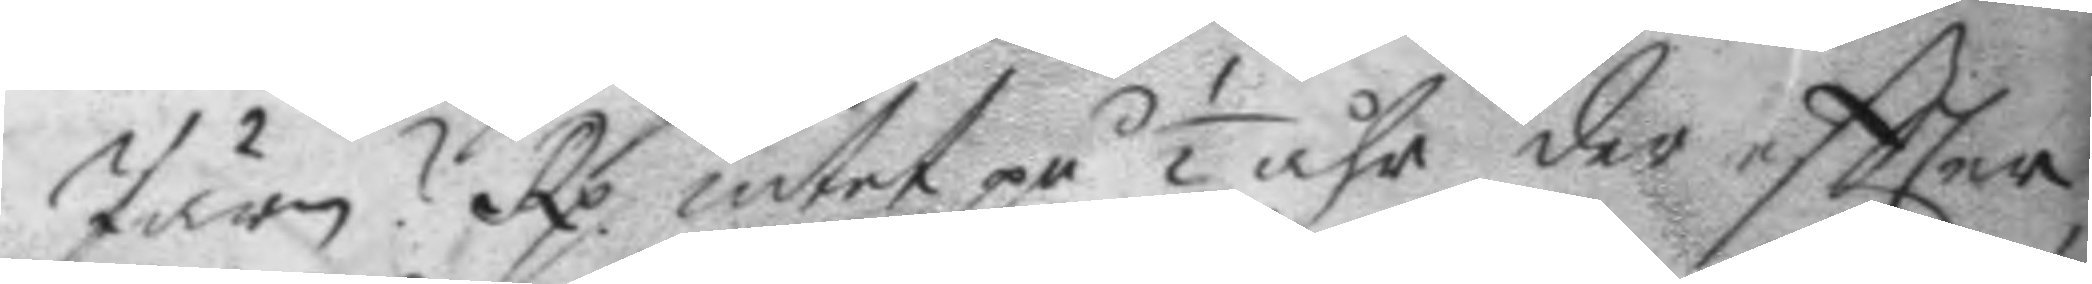Järn? Rp intet på ½ åhr der eftter 
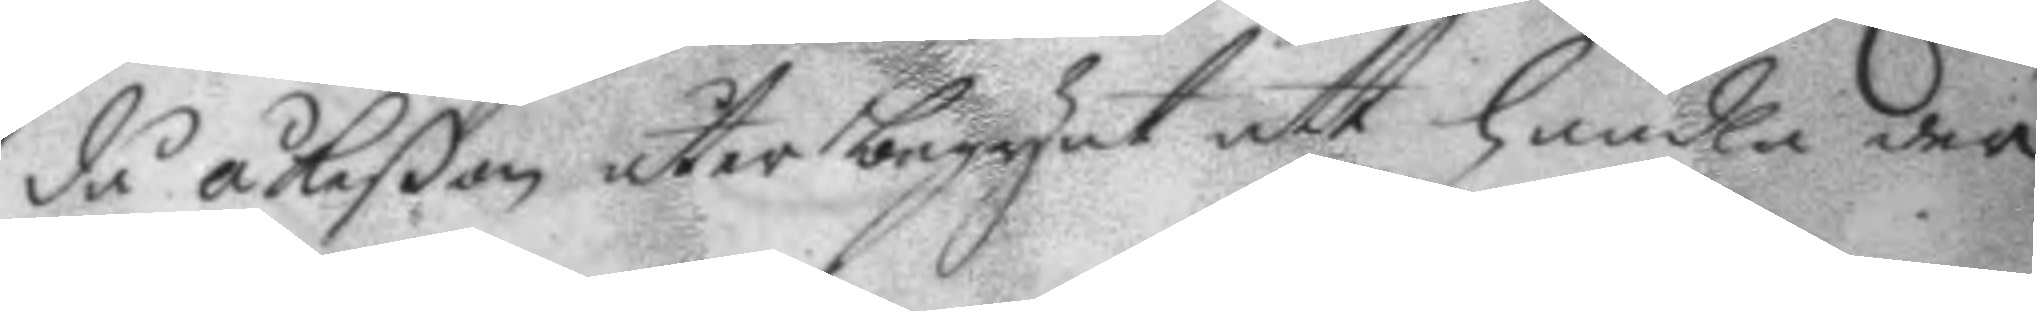då åkeßon åter begynt att handla der
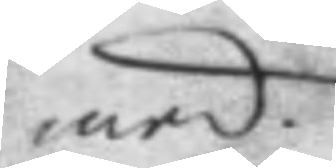med.
